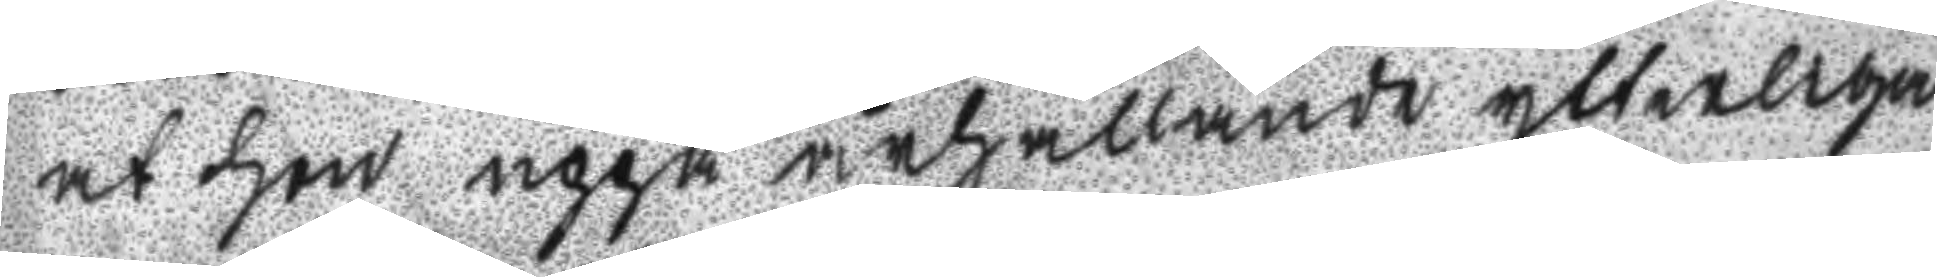at hon uppå ärhållande ytterliga
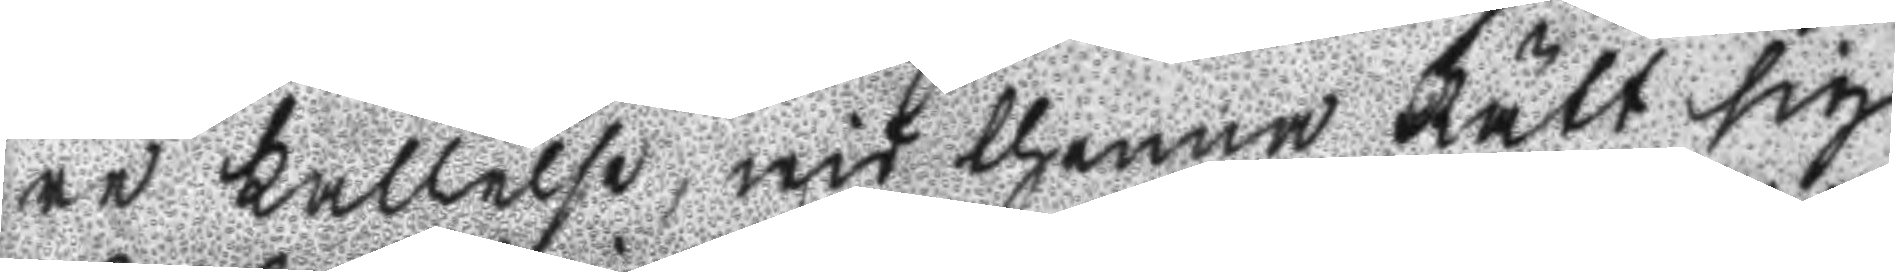re kallelse, wid thenna Rätt sig
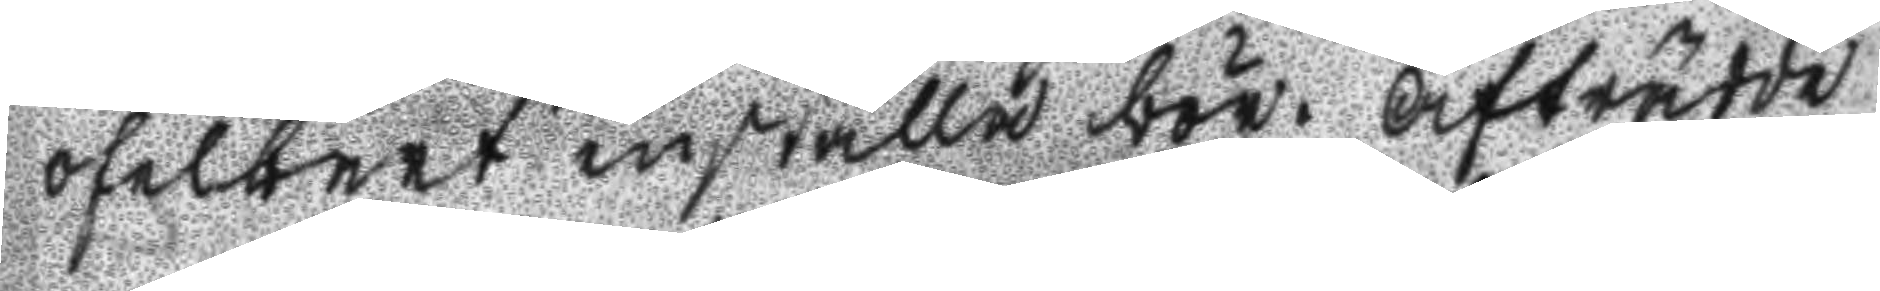ofelbart inställa bör. Afträdde
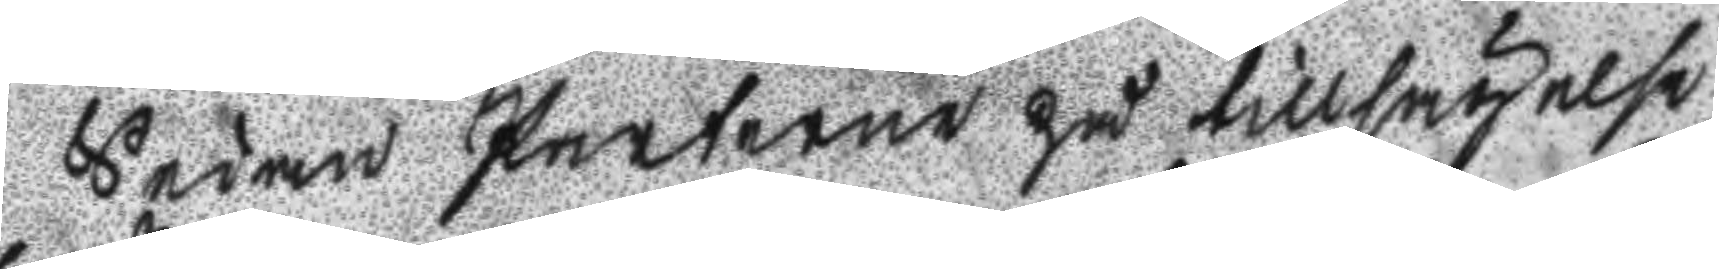Sedan Parterne på tillsägelse
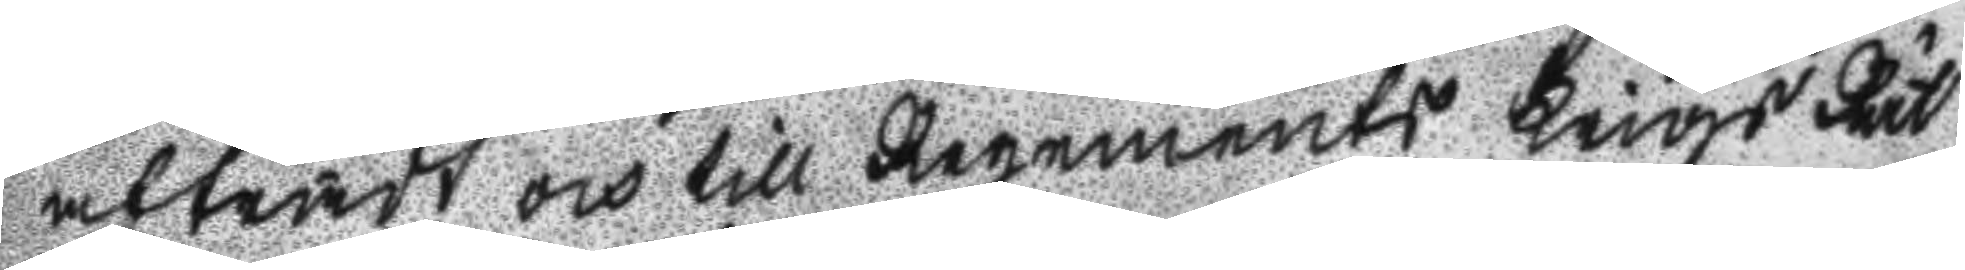afträdt och till Regements Krigs Rät
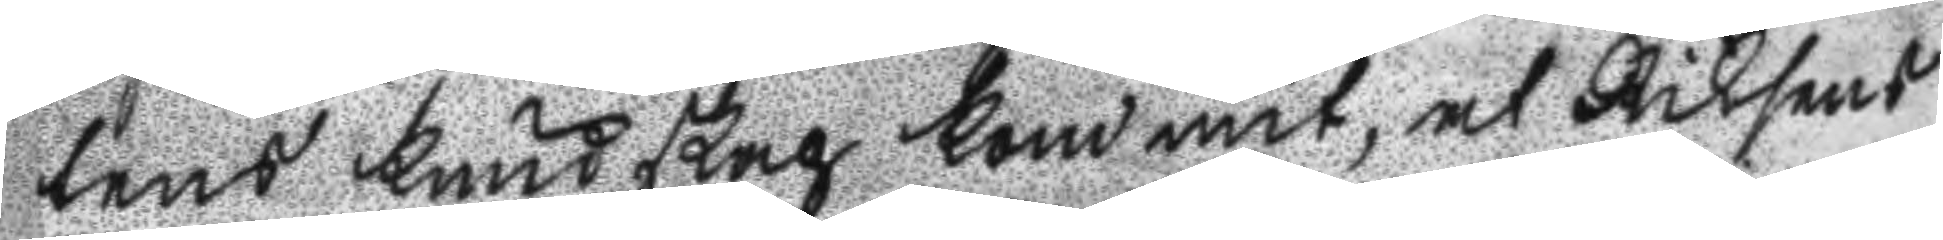tens kundskap kommit, at Riksens
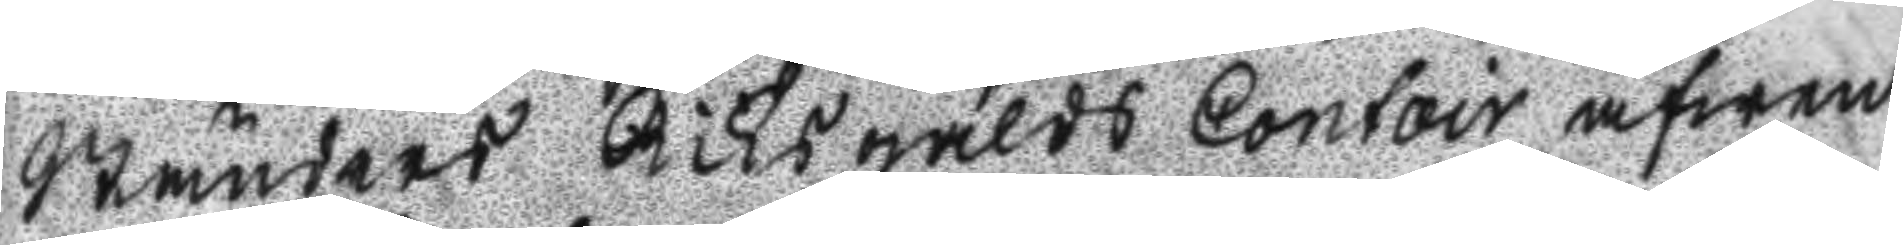Ständers Riksgälds Contoir äfwen
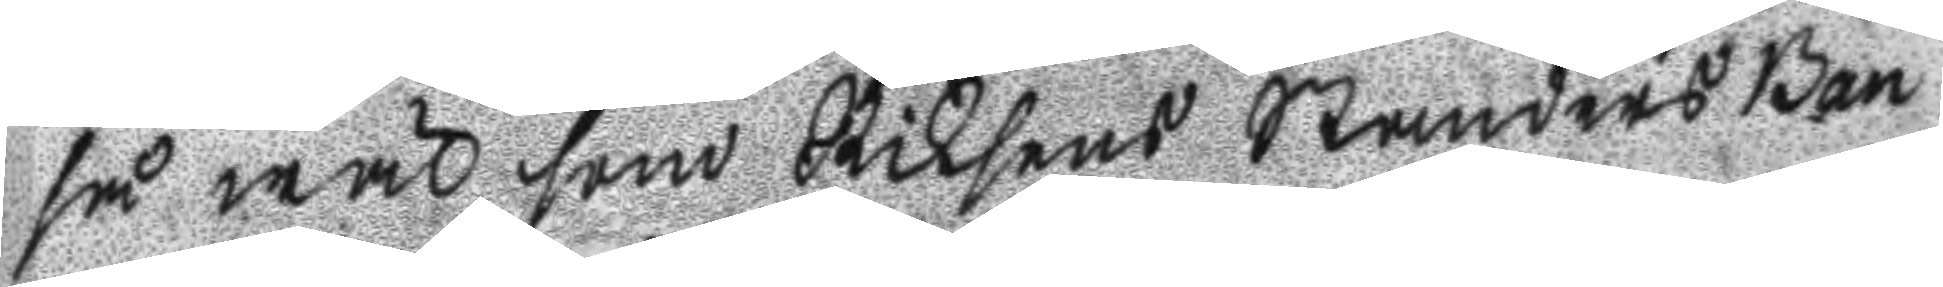så wäl som Riksens Ständers Ban
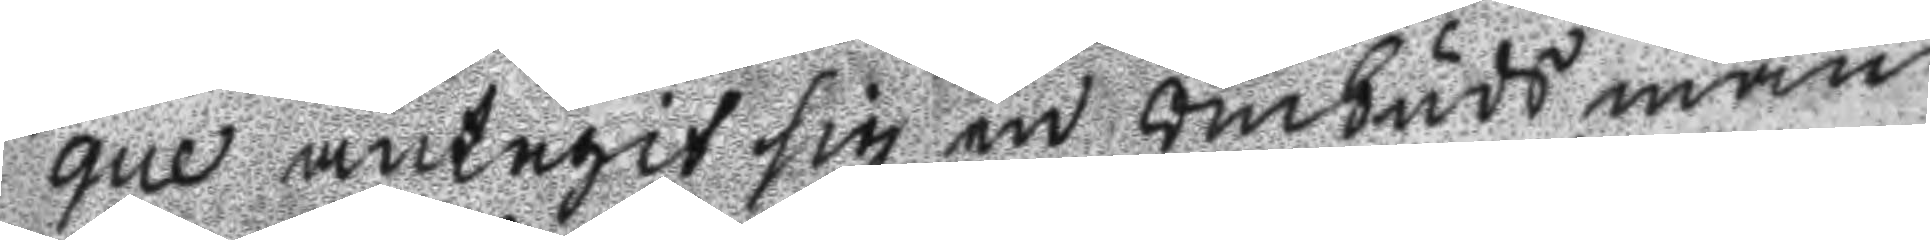que antegit sig en Ombuds man
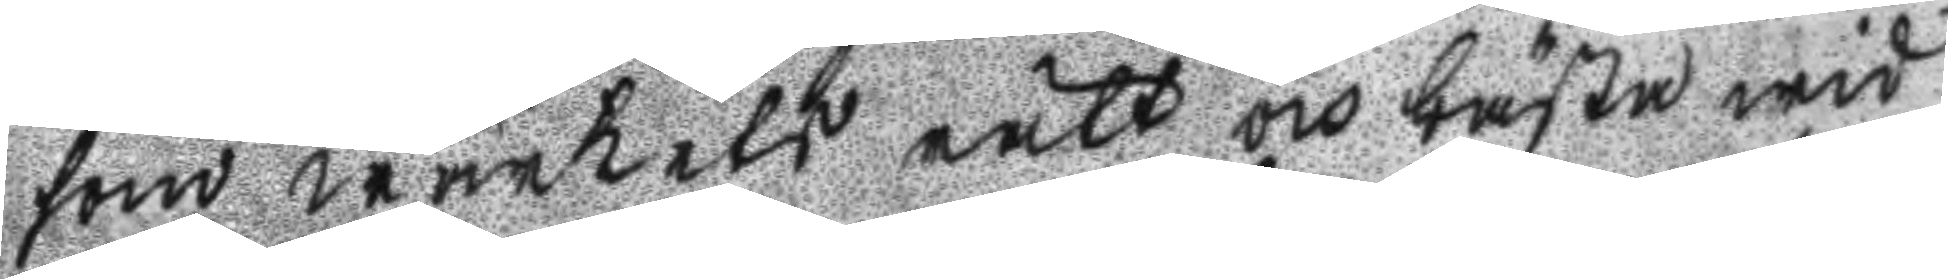som wärkets rätt och bästa wid
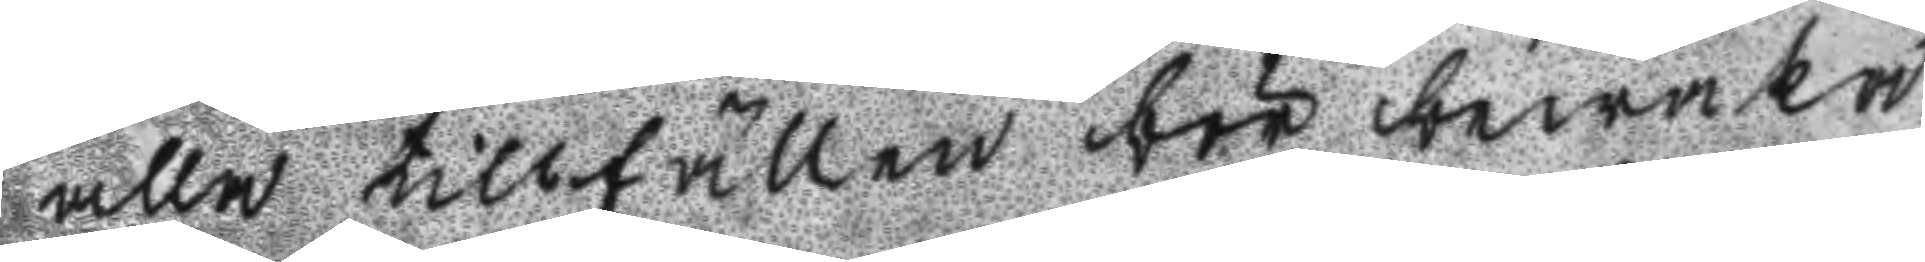alla tillfällen bör bewaka,
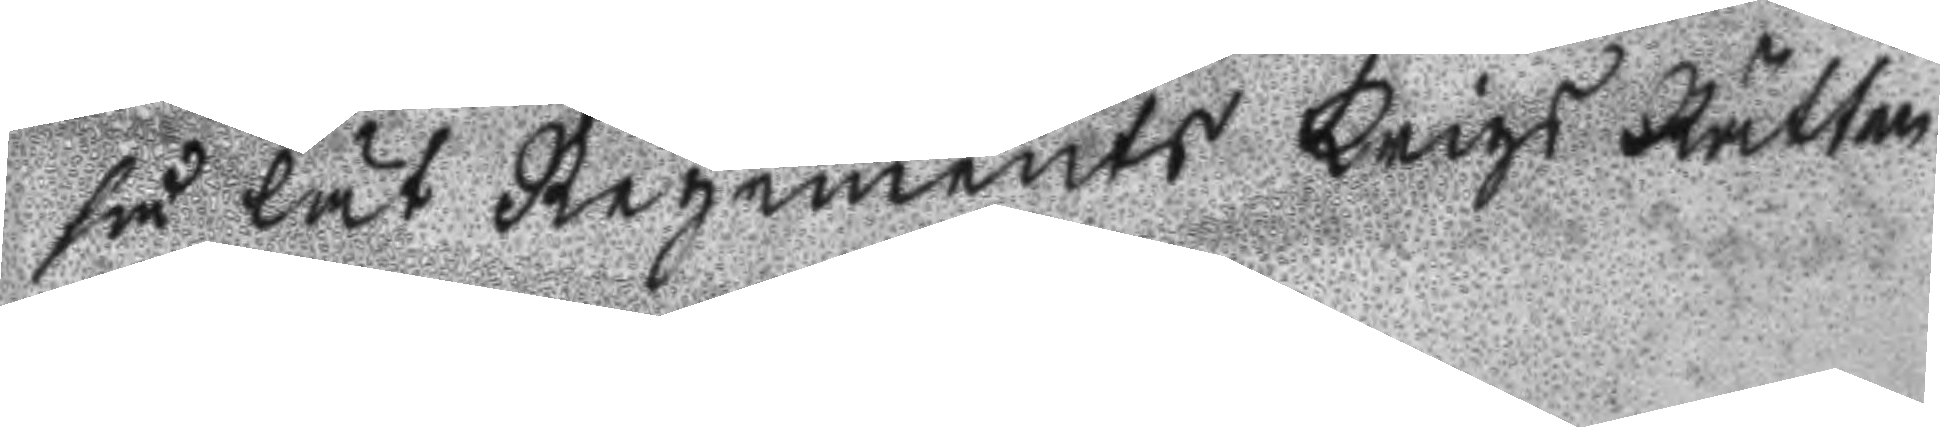så lät Regements Krigs Rätten
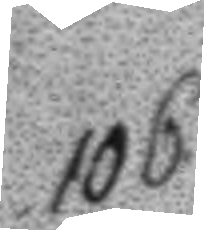106.
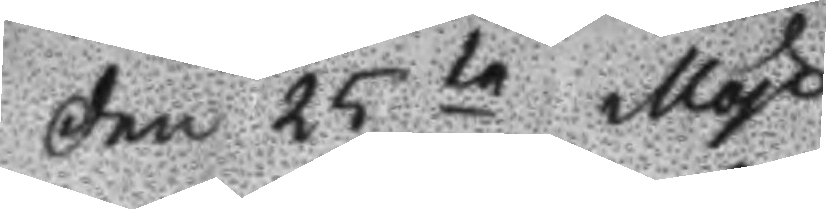Den 25te May
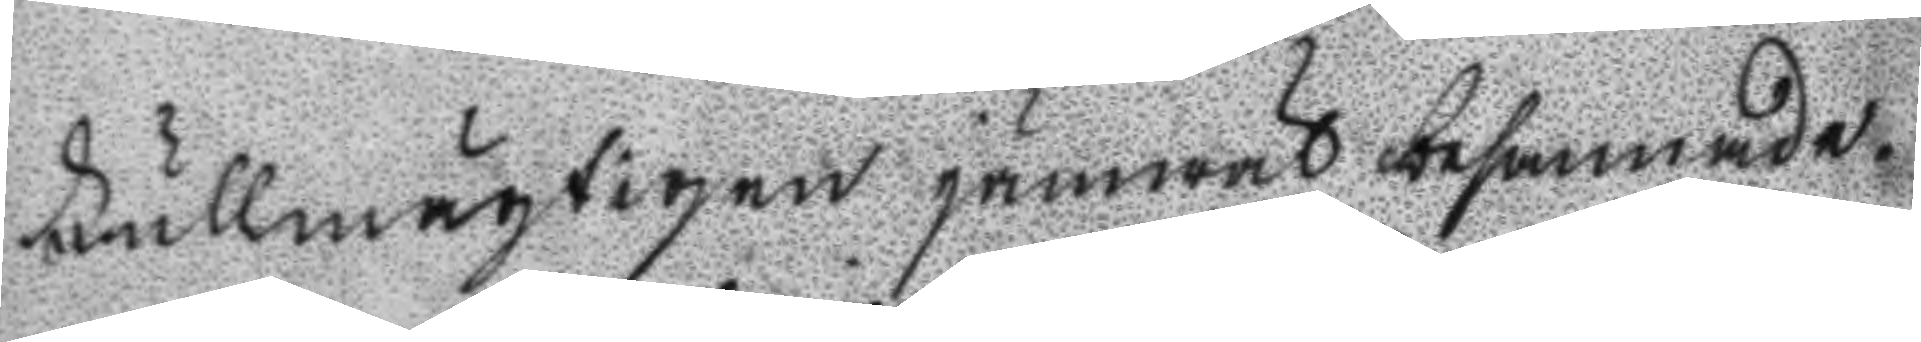Fullmägtigen jämwäl besannade.
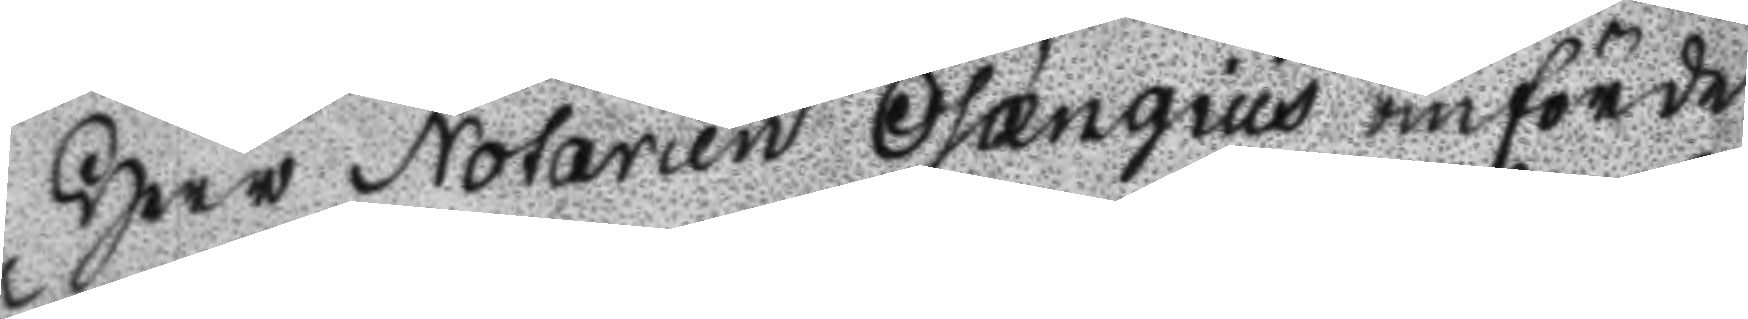Herr Notarien Osængius anförde
